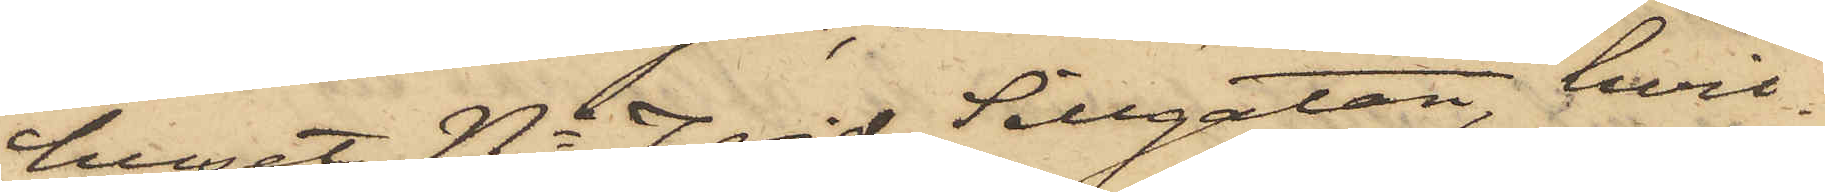huset No 7 vid Sillgatan, hvil¬
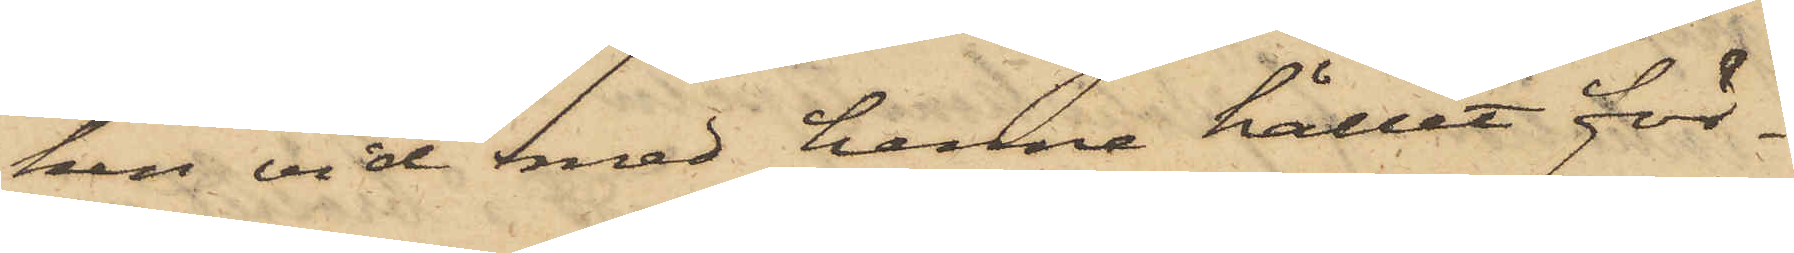ken vid med henne hållit för¬
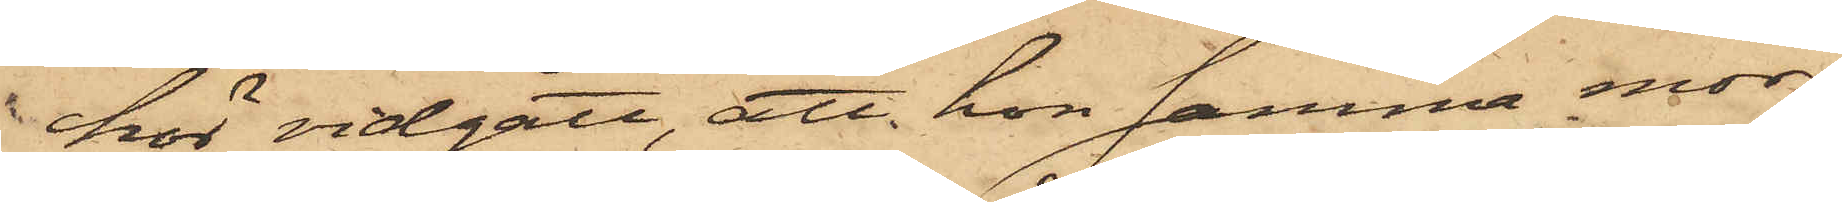hör vidgått, att hon samma mor¬
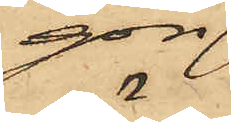gon
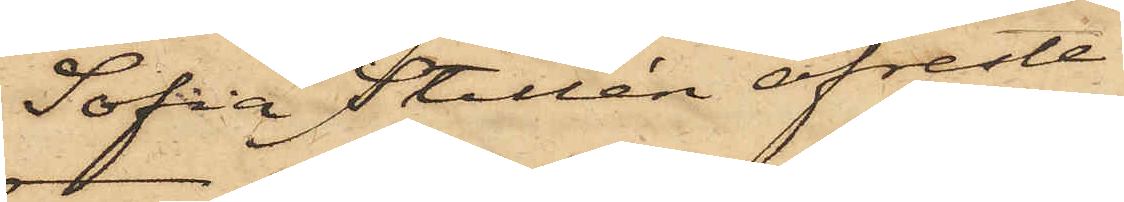Sofia Stillén afreste
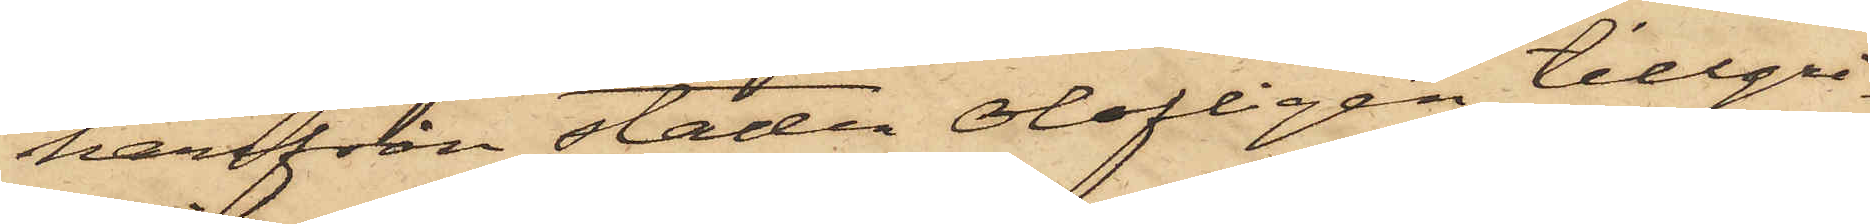härifrån staden olofligen tillgri¬
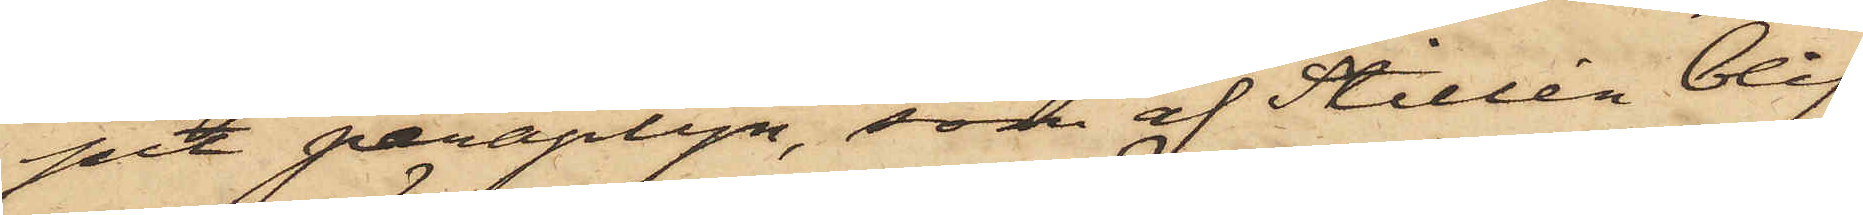pit paraplyn, som af Stillén blif¬
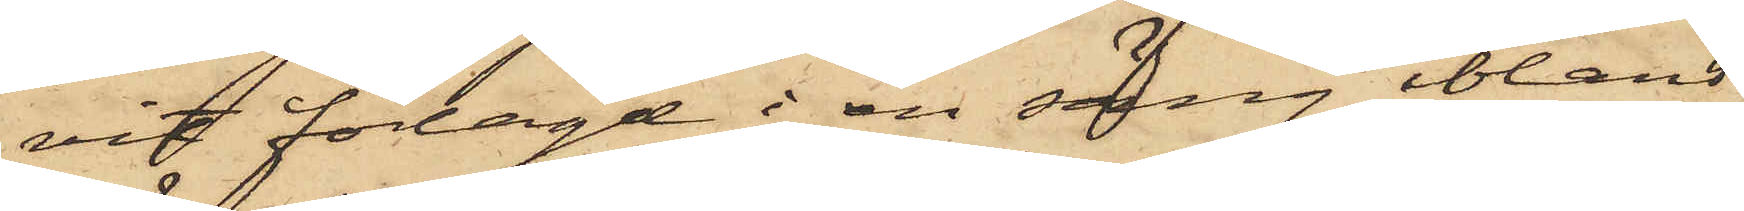vit förlagd i en säng ibland
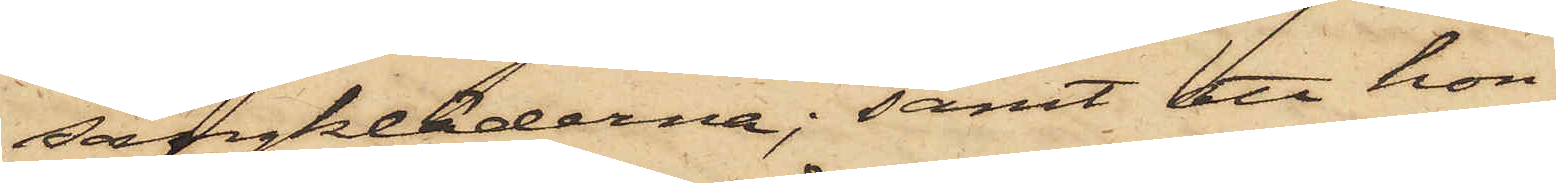sängkläderna; samt att hon
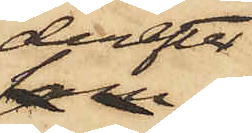derpå
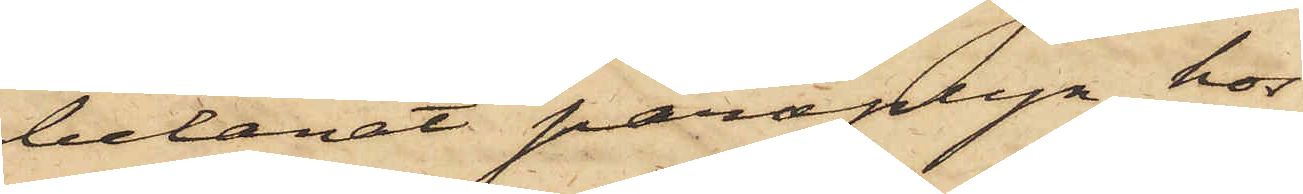belånat paraplyn hos
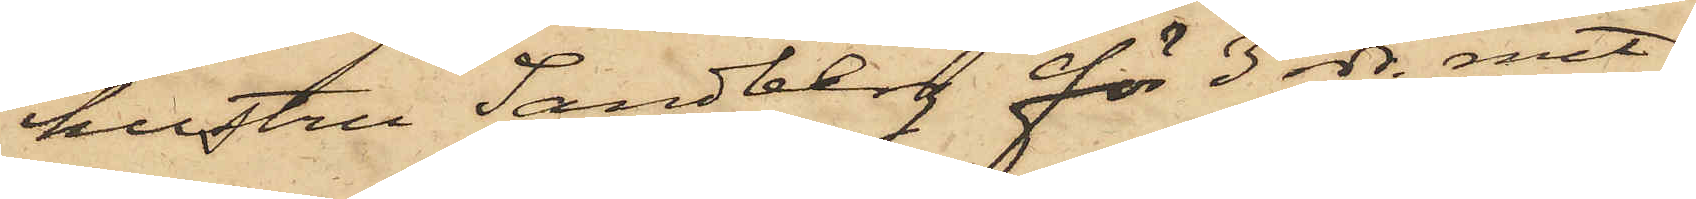hustru Sandberg för 3 rdr. rmt.
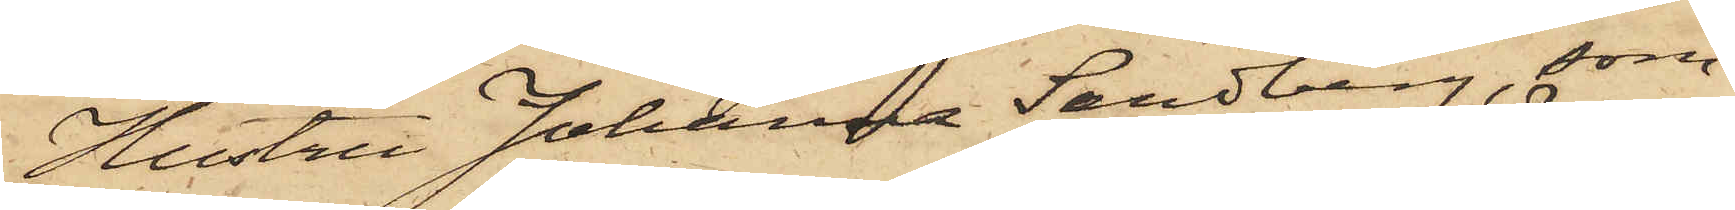Hustru Johanna Sandberg, som
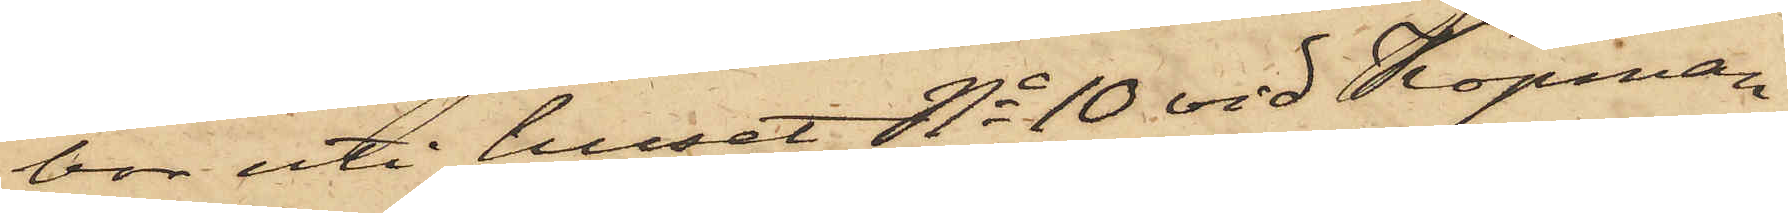bor uti huset No 10 vid Köpman¬
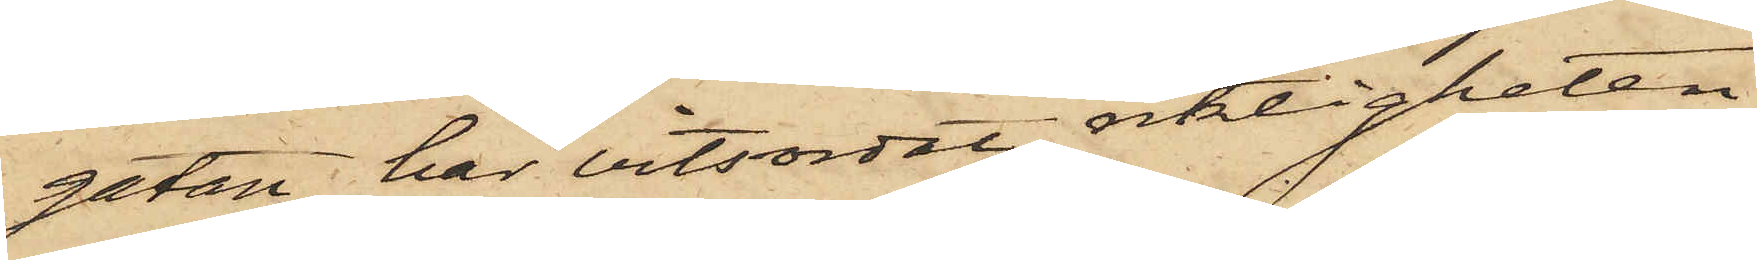gatan, har vitsordat riktigheten
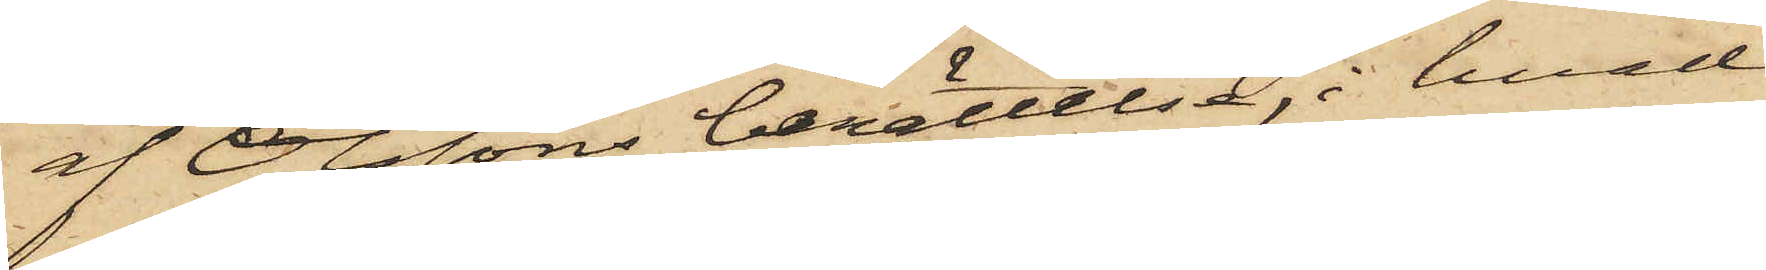af Olssons berättelse, i hvad
